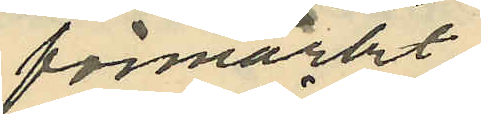förmärkt
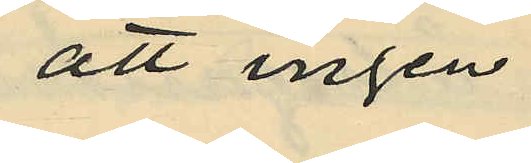att ingen
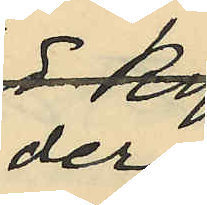der
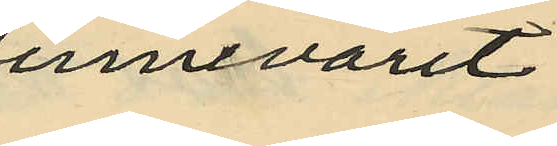innevarit,
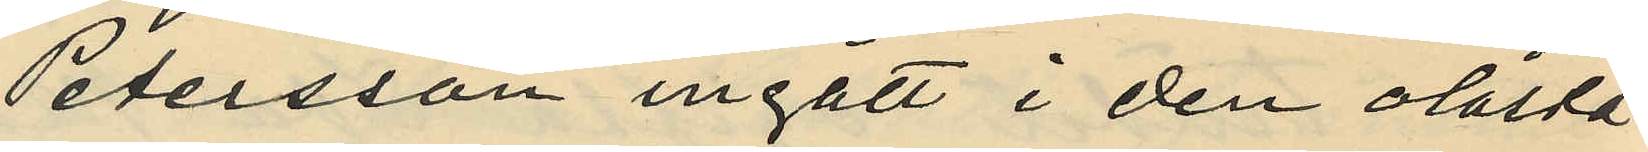Petersson ingått i den olåsta
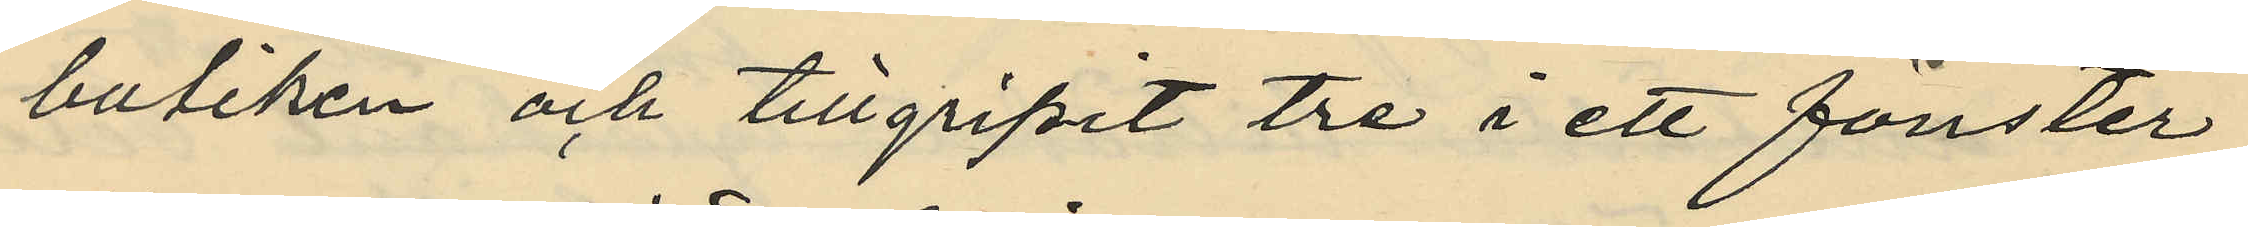butiken och tillgripit tre i ett fönster
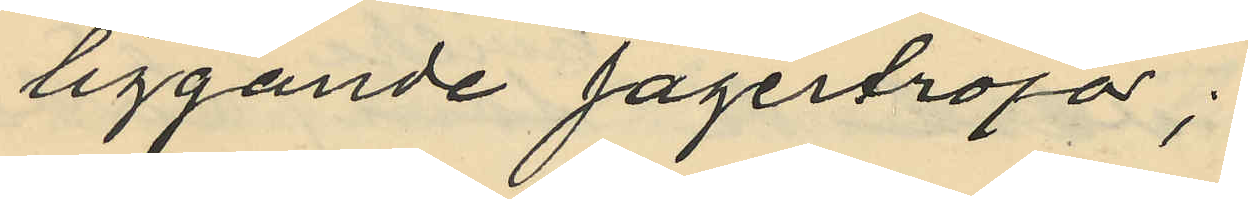liggande Jägertröjor;
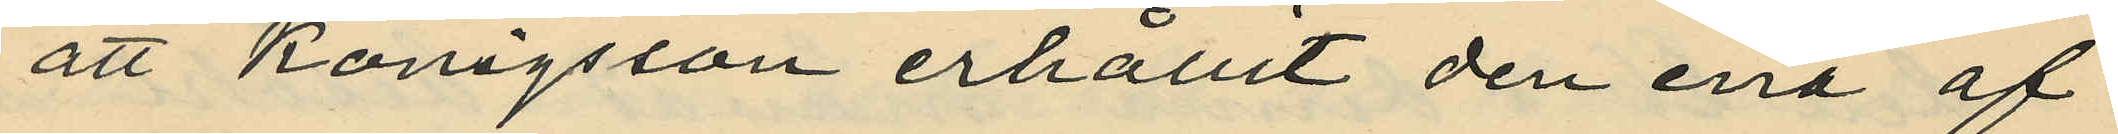att Königsson erhållit den ena af
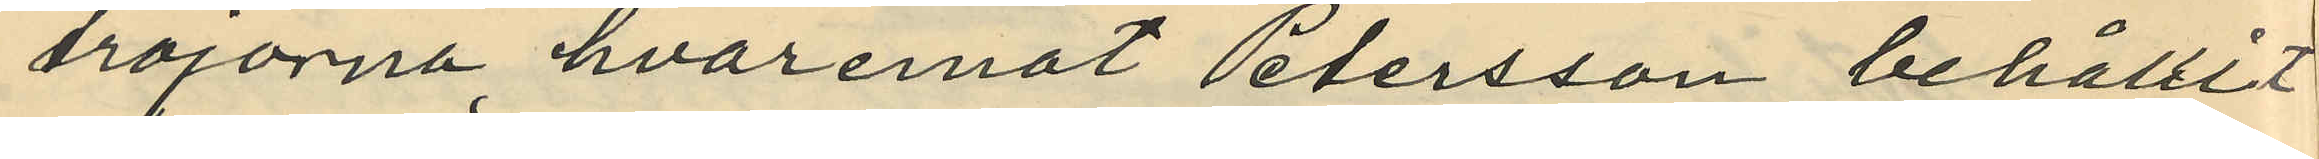tröjorna, hvaremot Petersson behållit
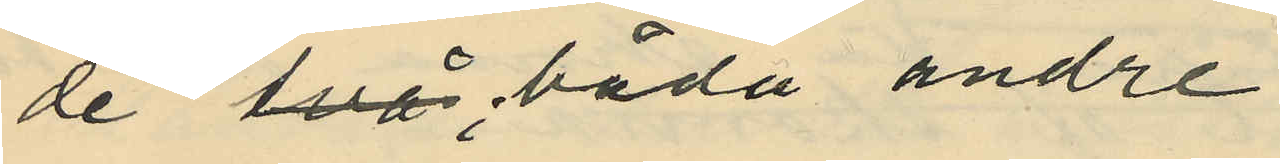de båda andre;
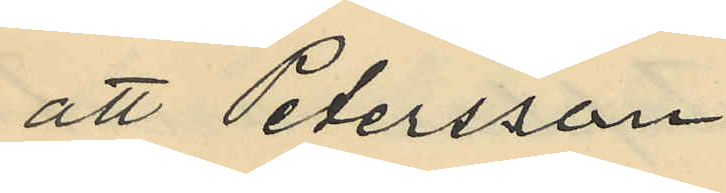att Petersson
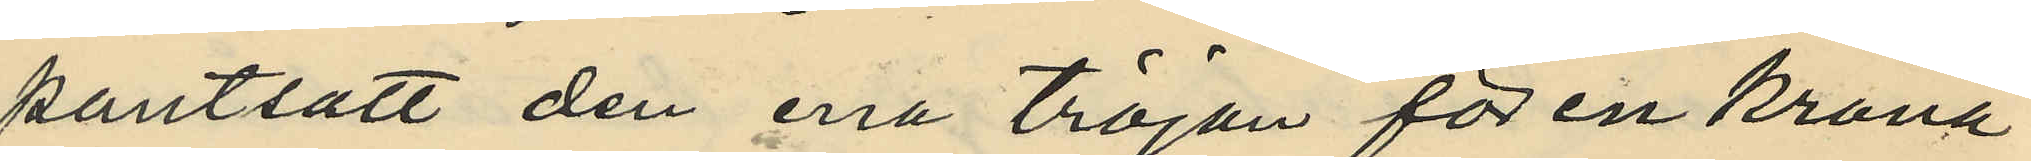pantsatt den ena tröjan för en krona
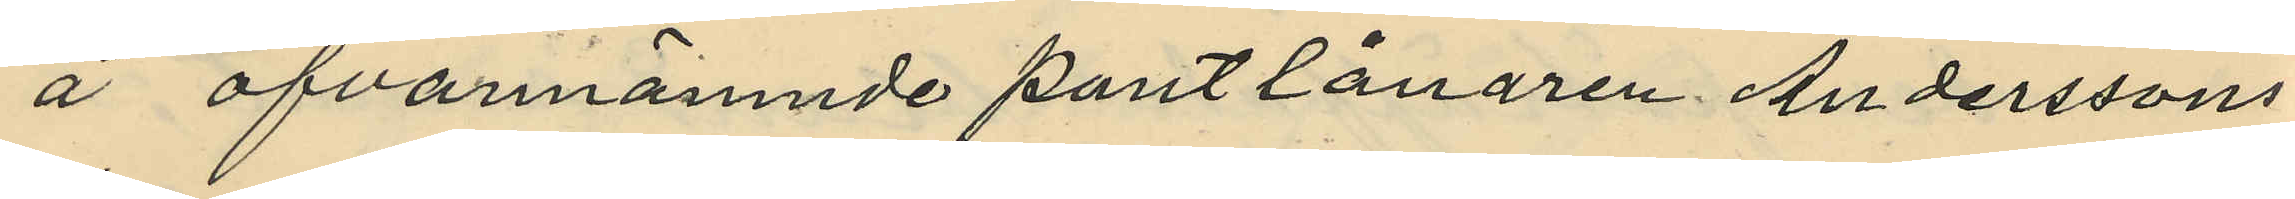å ofvannämnde pantlånaren Anderssons
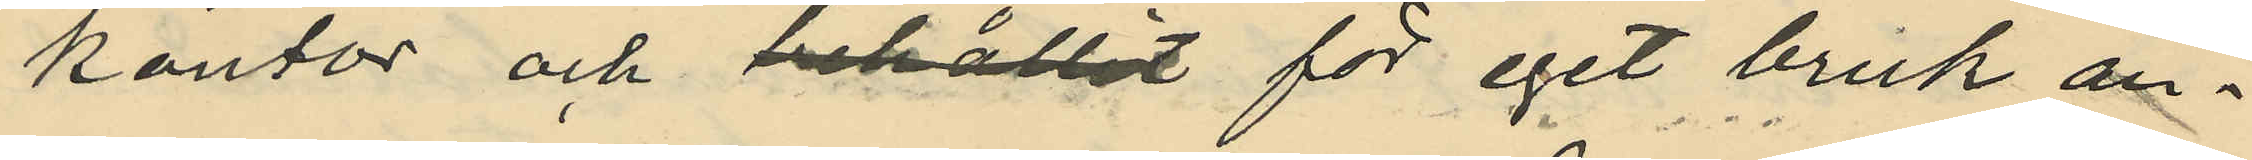kontor och behållit för eget bruk an¬
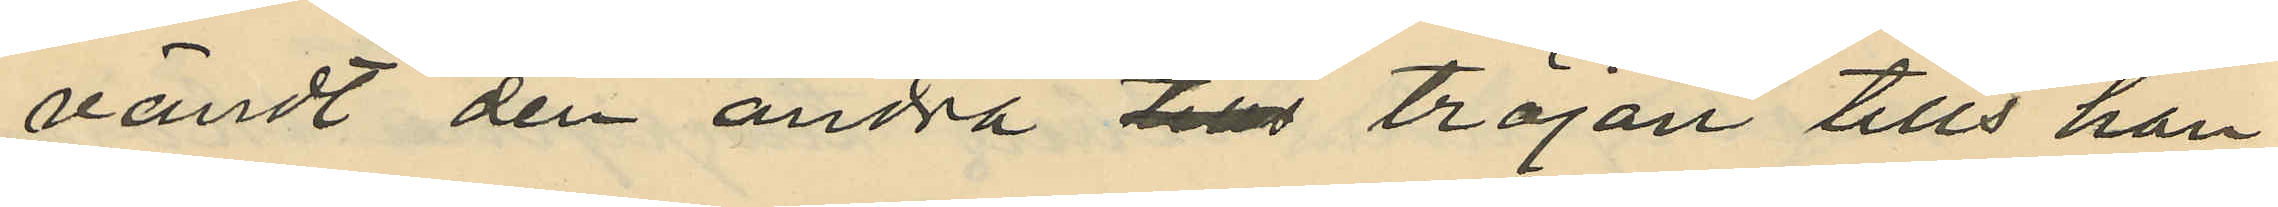vändt den andra tills tröjan tills han
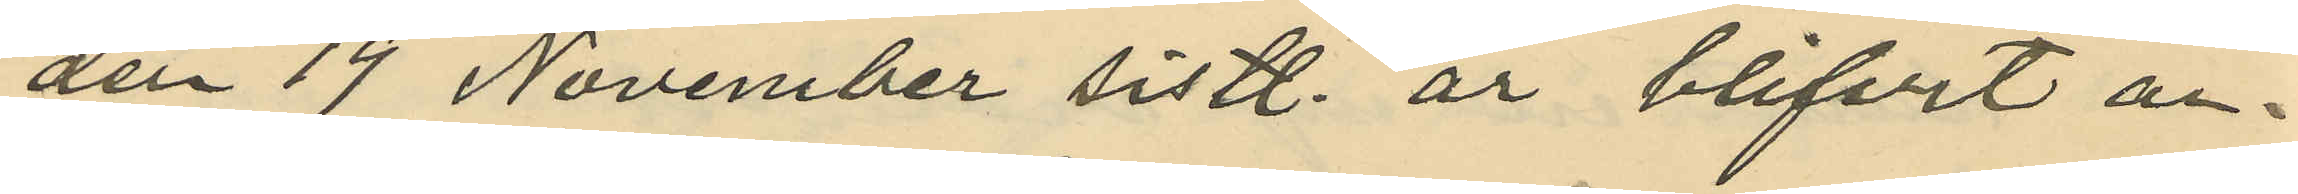den 19 November sistl. år blifvit an¬
